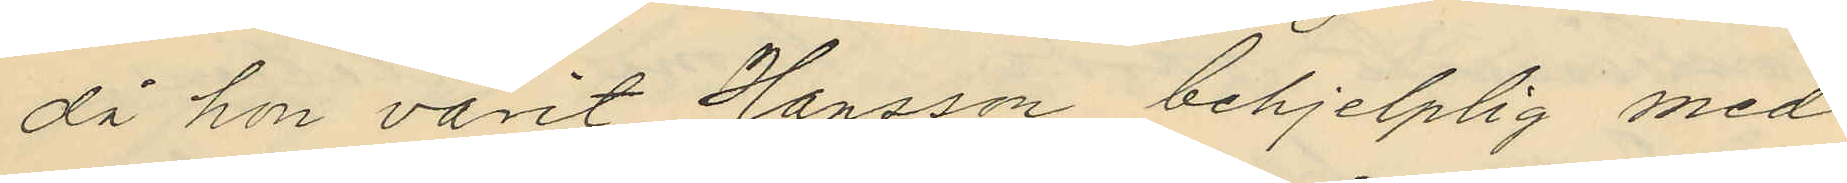då hon varit Hansson behjelplig med
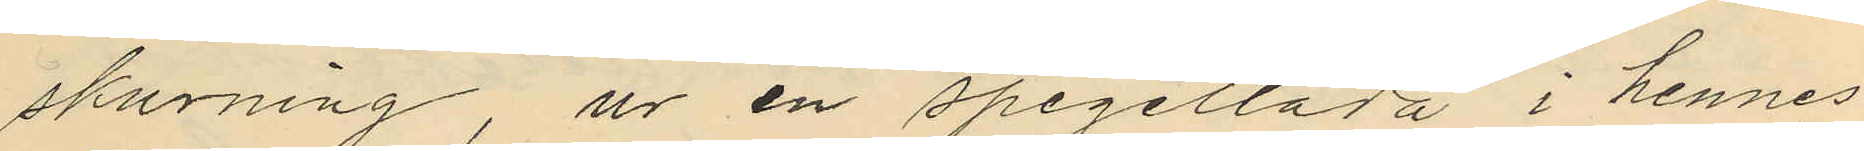skurning ur en spegellåda i hennes
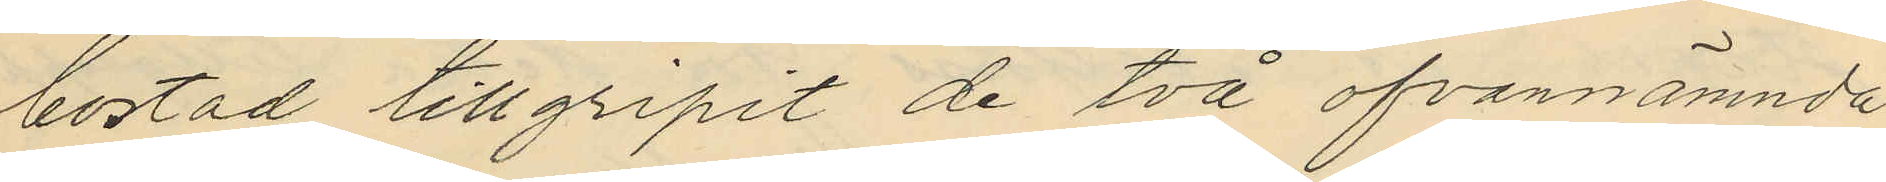bostad tillgripit de två ofvannämnda
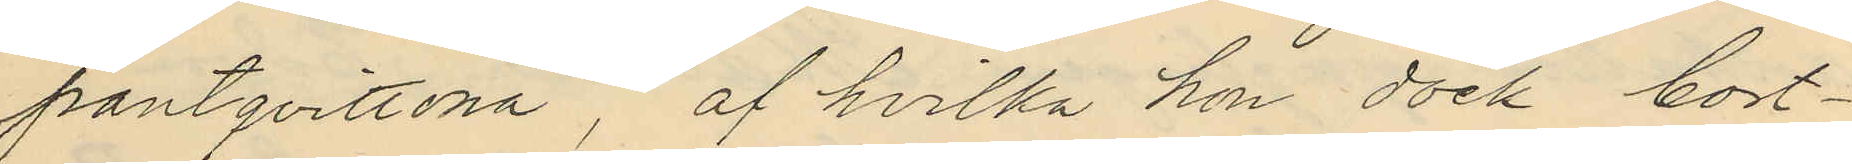pantqvittona, af hvilka hon dock bort¬
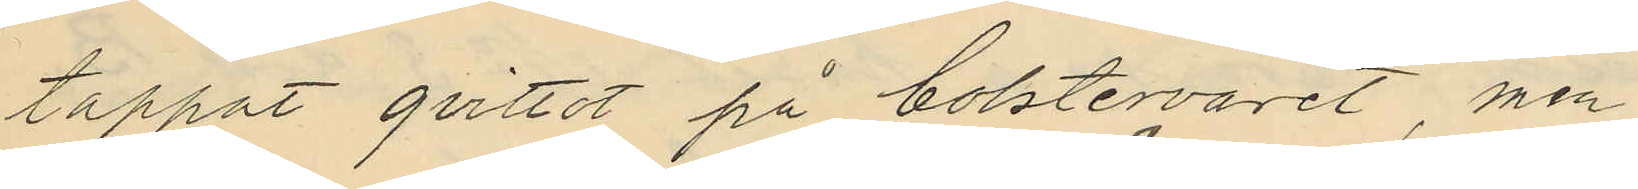tappat qvittot på bolstervaret, men
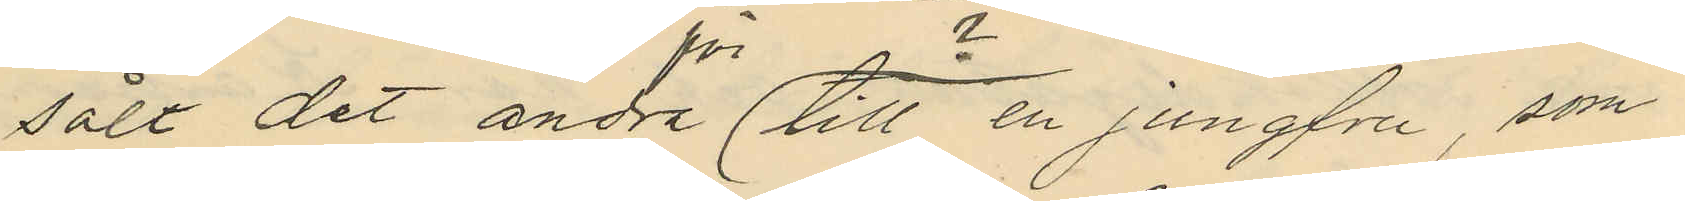sålt det andra till en jungfru, som
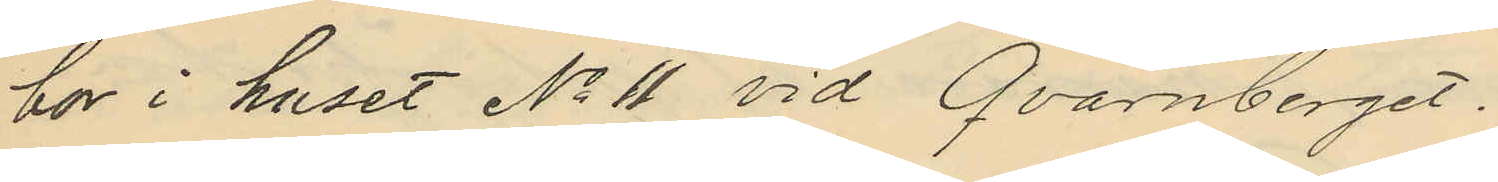bor i huset No 11 vid Qvarnberget.
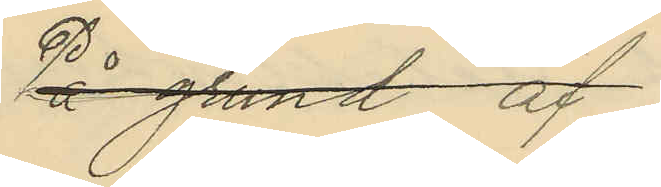På grund af
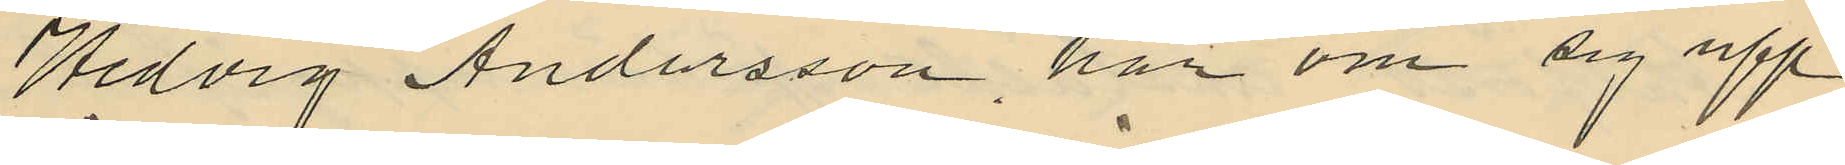Hedvig Andersson har om sig upp¬
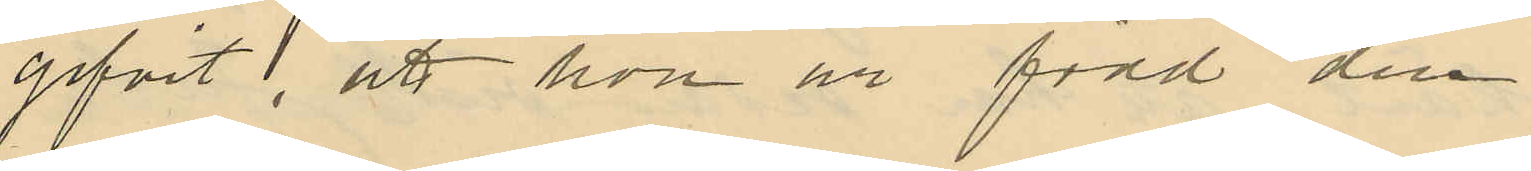gifvit, att hon är född den
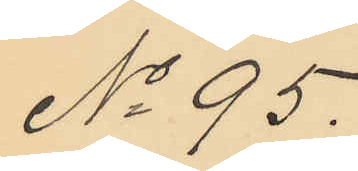No 95.
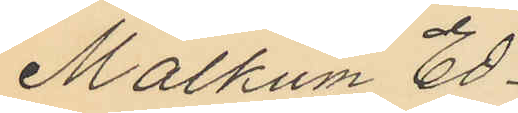Malkum Ed¬
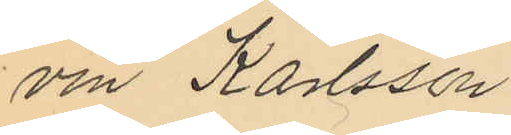vin Karlsson.
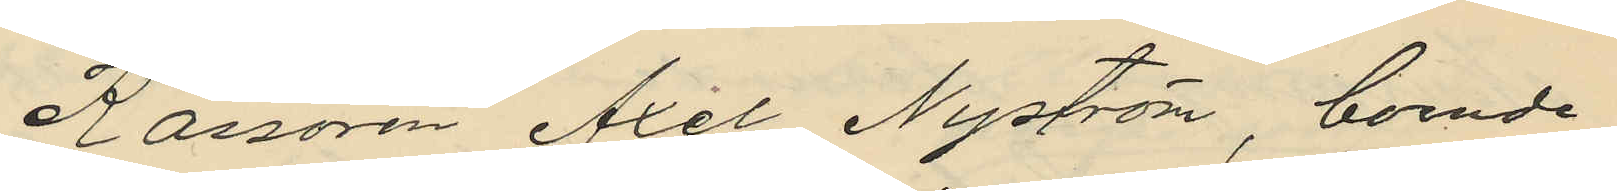Kassören Axel Nyström, boende
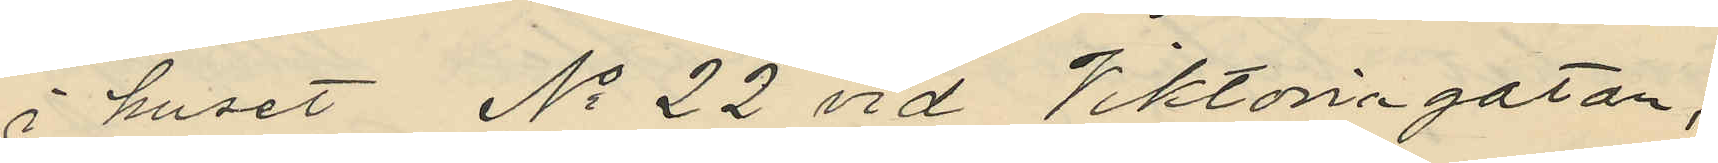i huset No 22 vid Viktoriagatan,
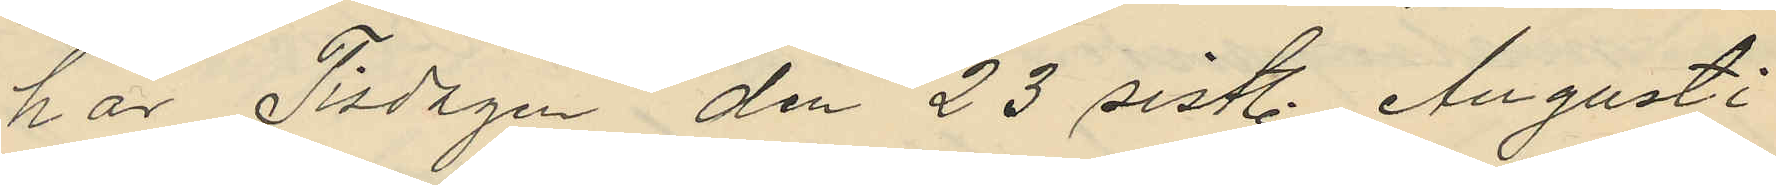har Tisdagen den 23 sistl. Augusti
